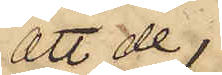att de 
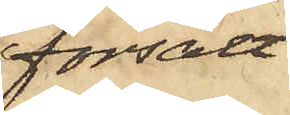försålt
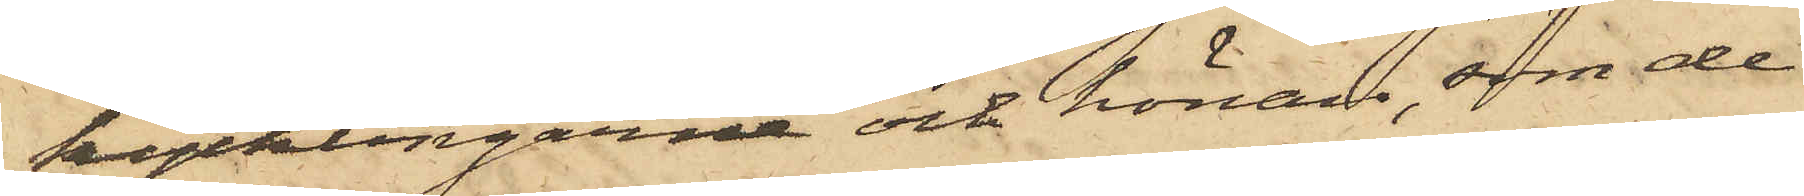kycklingarne och hönan, som de
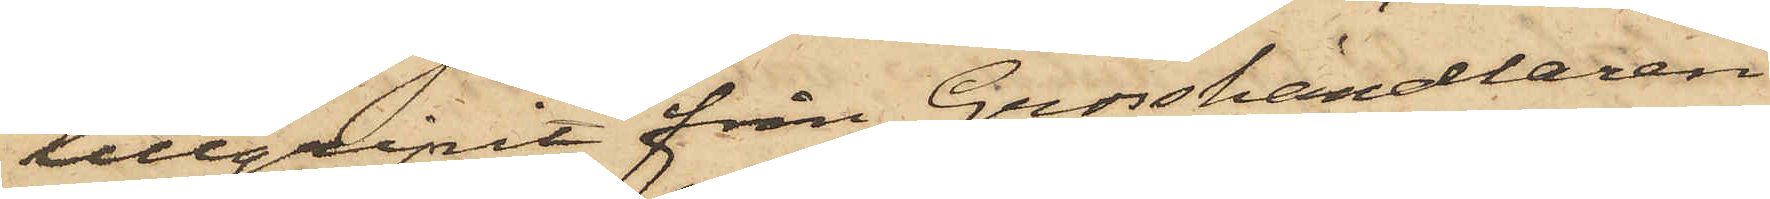tillgripit från Grosshandlaren
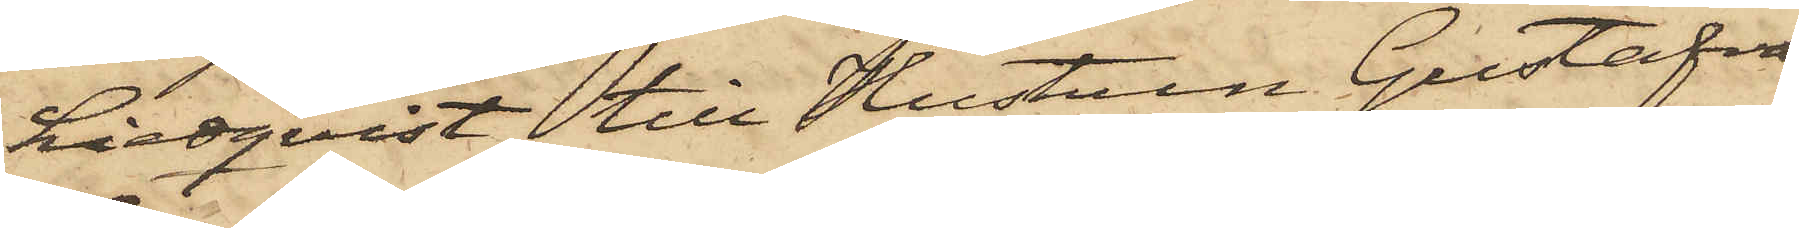Liedqvist till Hustrun Gustafva
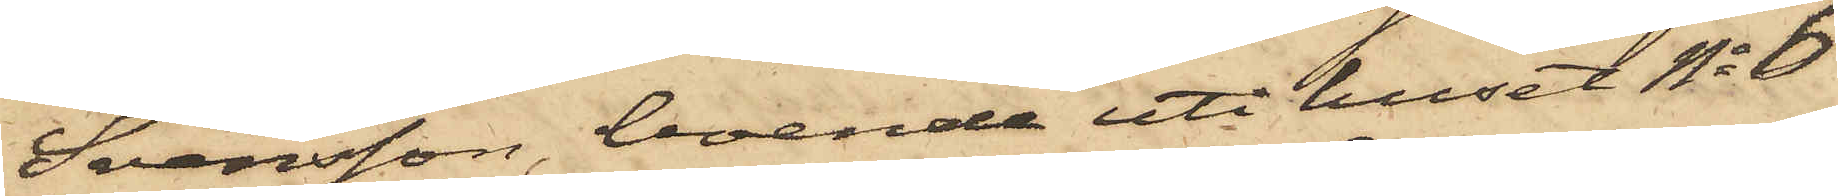Svensson, boende uti huset No 6
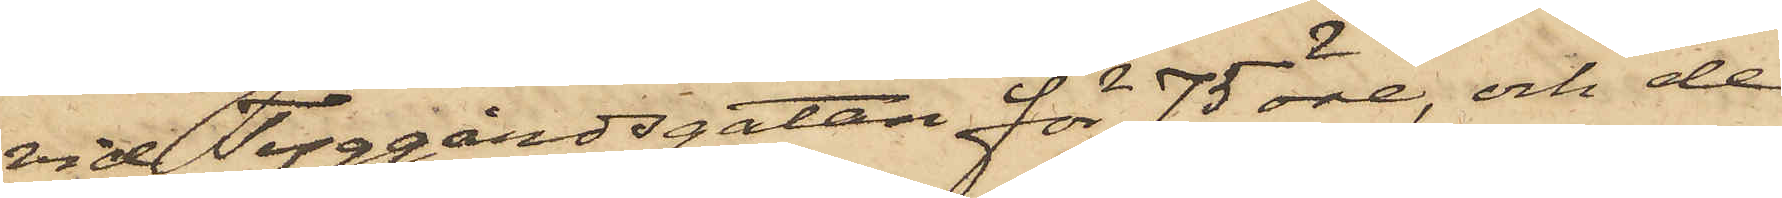vid Tyggårdsgatan för 75 öre, och de
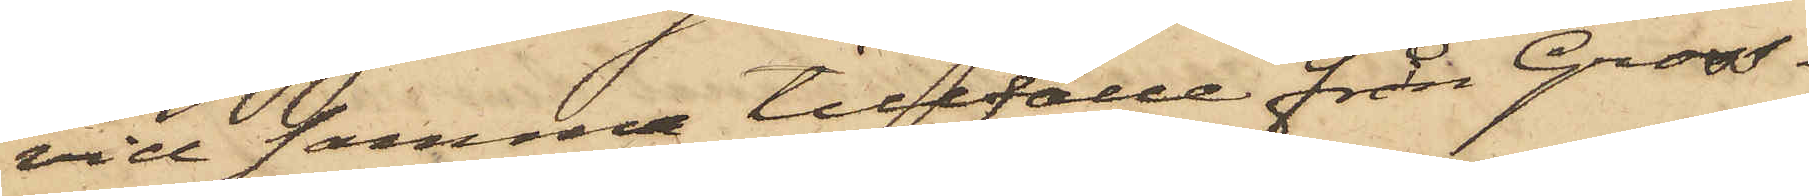vid samma tillfälle från Gross¬
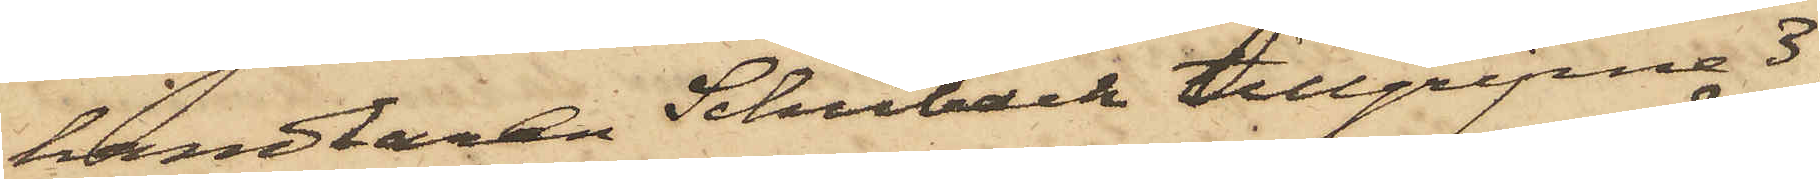handlaren Schuback tillgripne 3
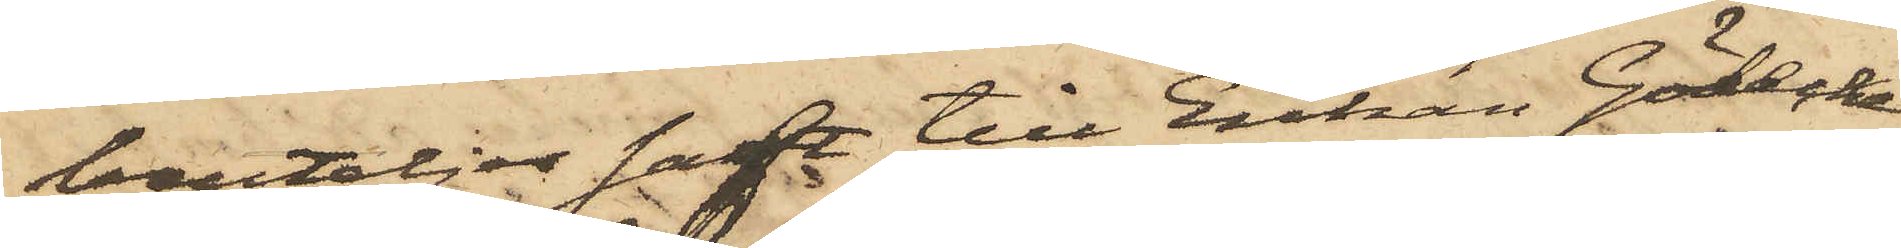bouteljer saft till Enkan Gödecke
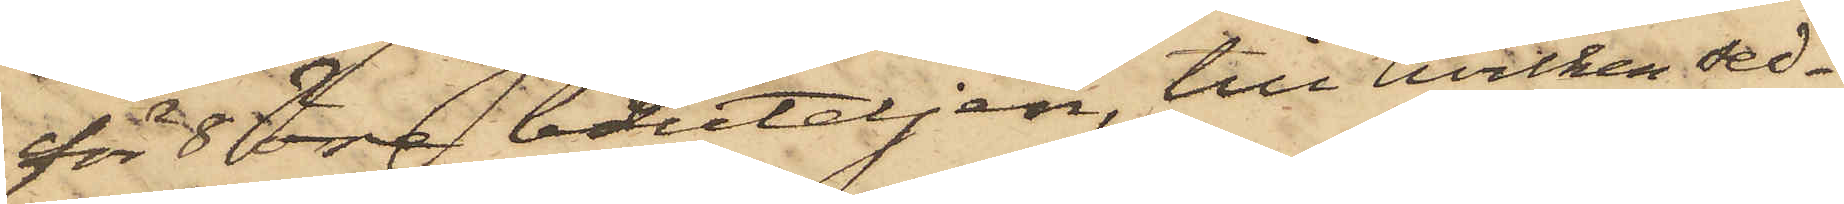för 8 öre bouteljen, till hvilken sed¬
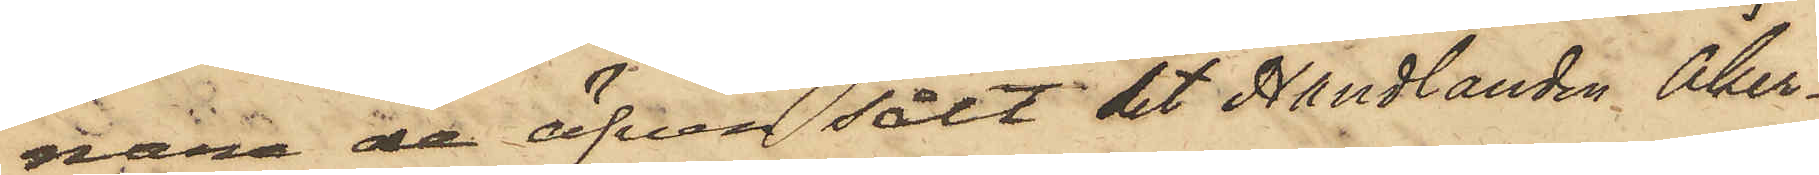nare de äfven sålt det Handlanden Åker¬
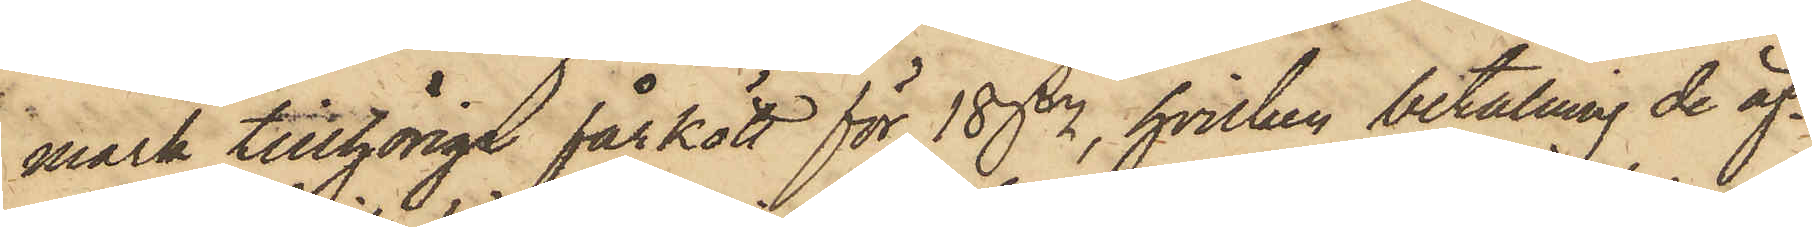mark tillhöriga fårkött för 18 dr, hvilken betalning de äf¬
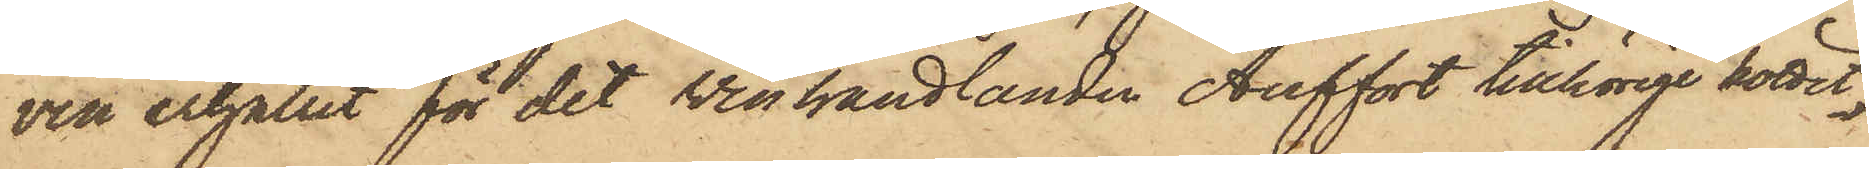ven erhållit för det vinhandlanden Auffort tillhörige köttet,
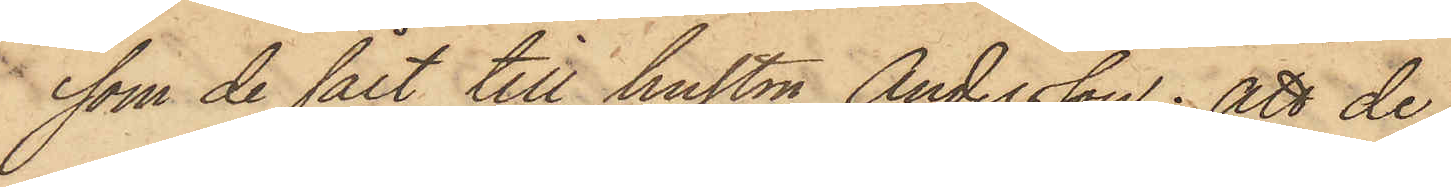som de sålt till hustrun Andersson; att de
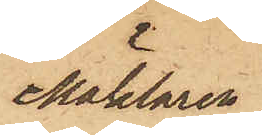Mäklaren
